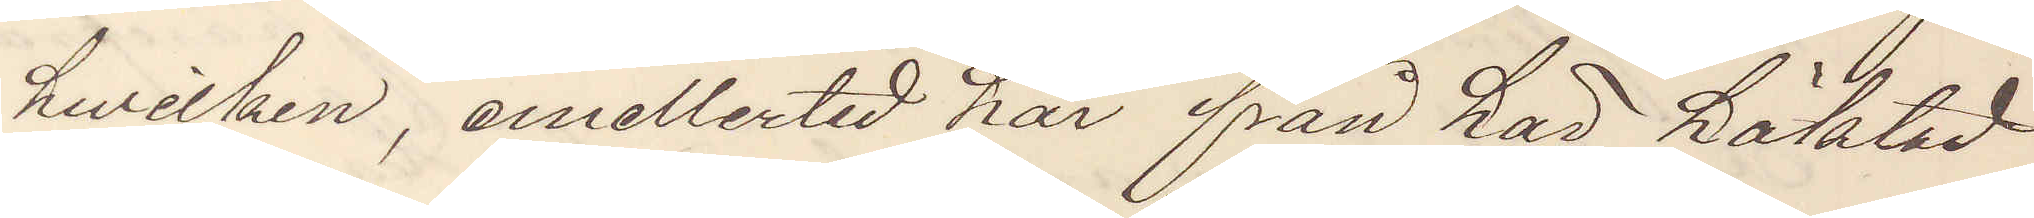hvilken, emellertid har från här häktad
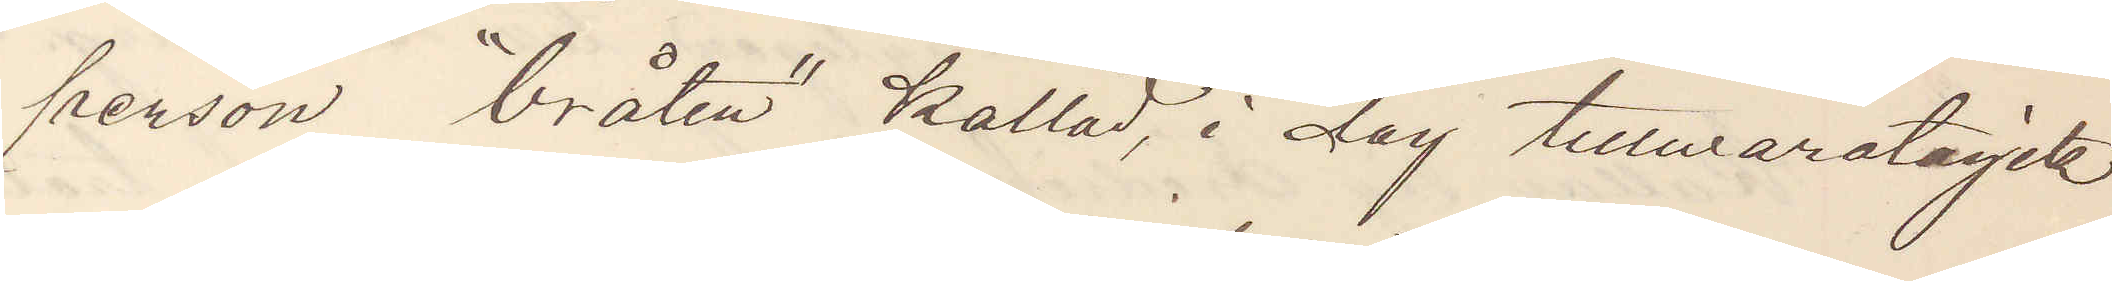person "Bråten" kallad, i dag tillvaratagits
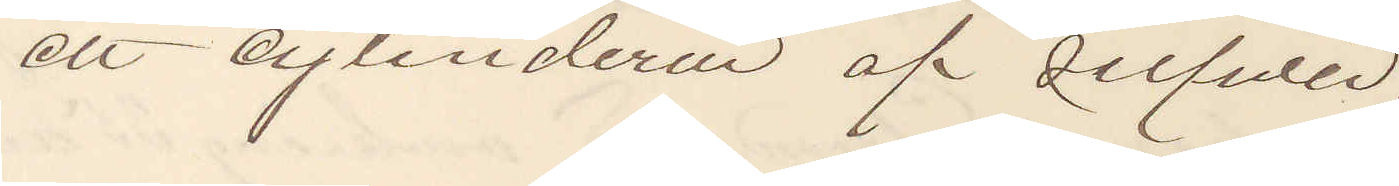ett cylinderur af silfver.
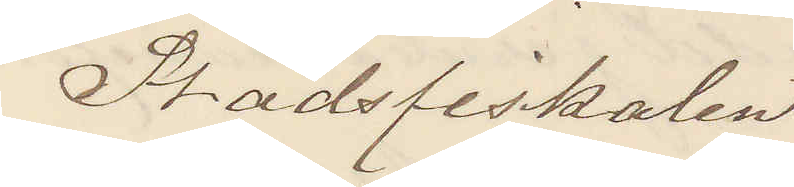Stadsfiskalen
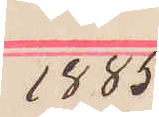1885
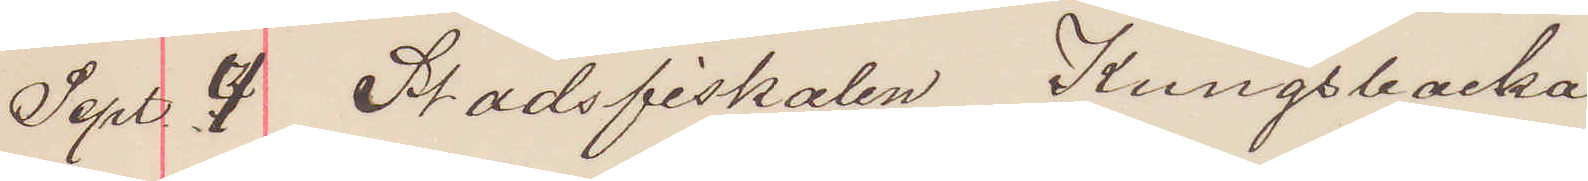Sept 4 Stadsfiskalen Kungsbacka.
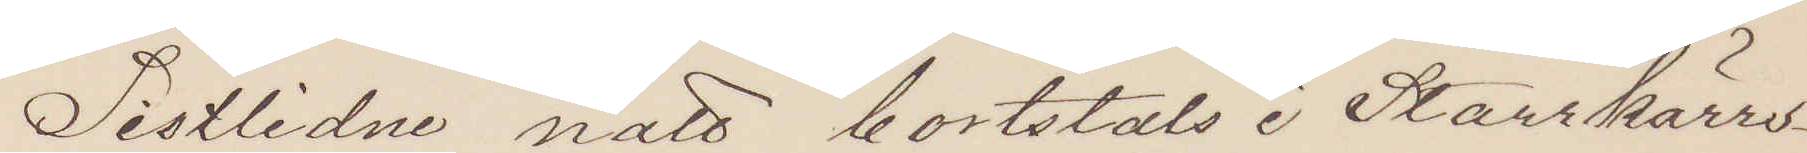Sistlidne natt bortstals i Starrkärrs
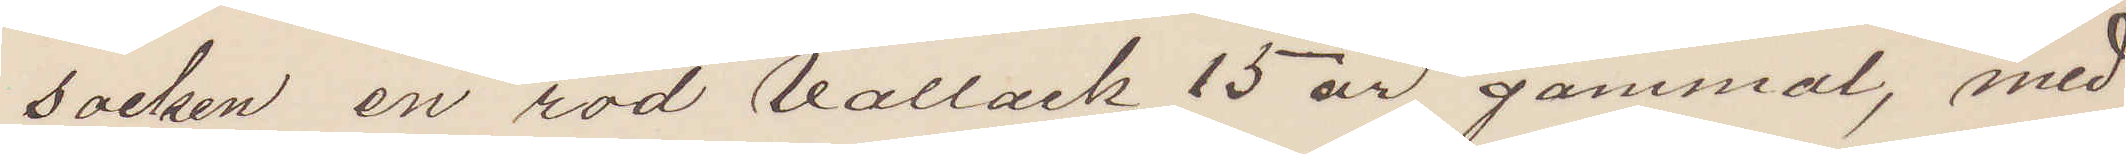socken en röd Vallack 15 år gammal, med
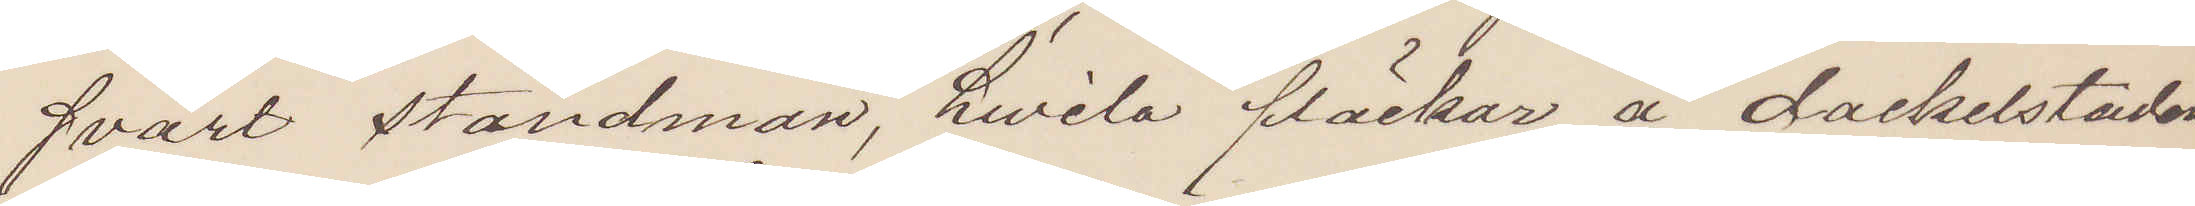svart ståndman, hvita fläckar å dackelstaden
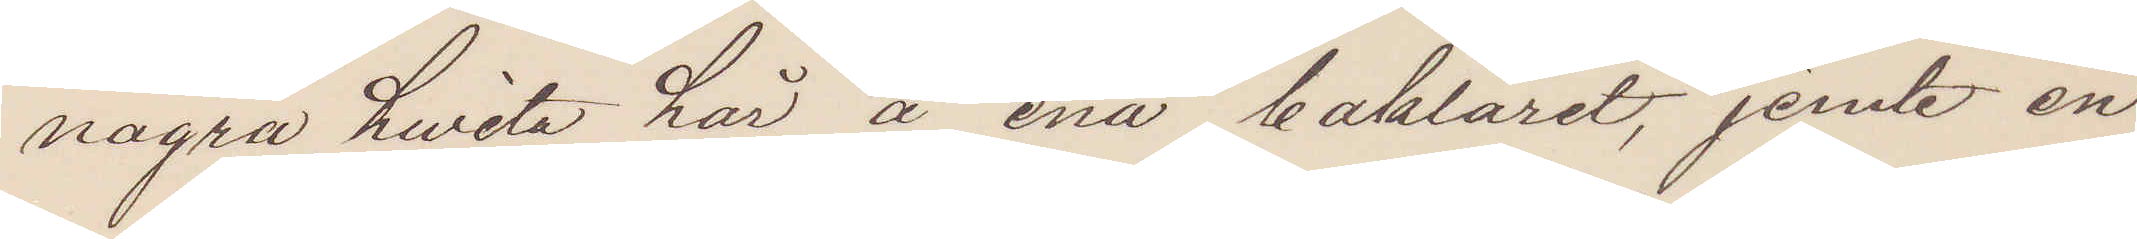några hwita hår å ena baklåret, jemte en
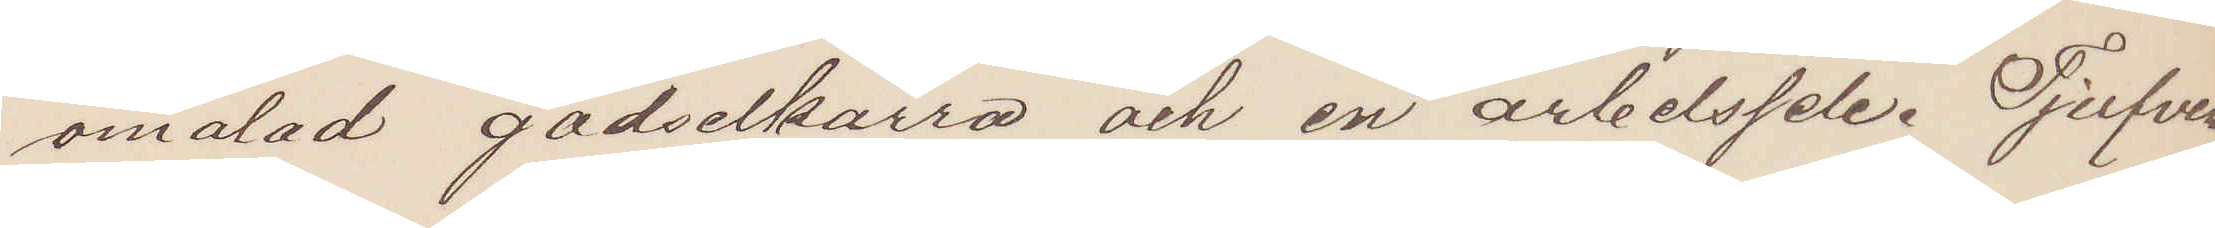omålad gödselkärra och en arbetssele. Tjufven
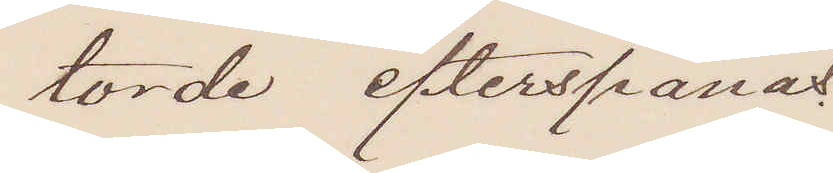torde efterspanas
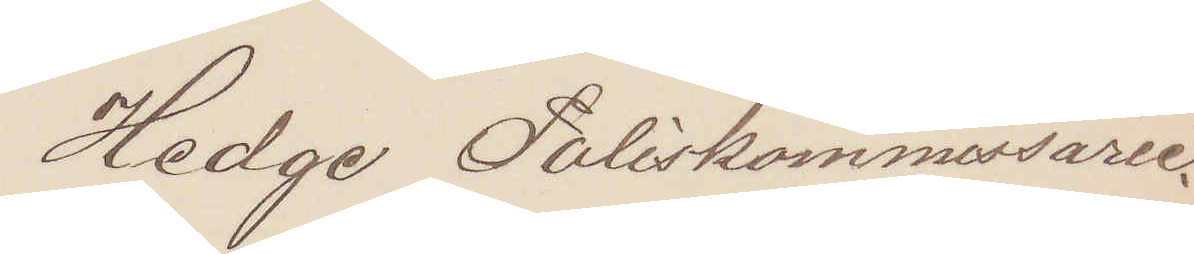Hedge Poliskommissarie.
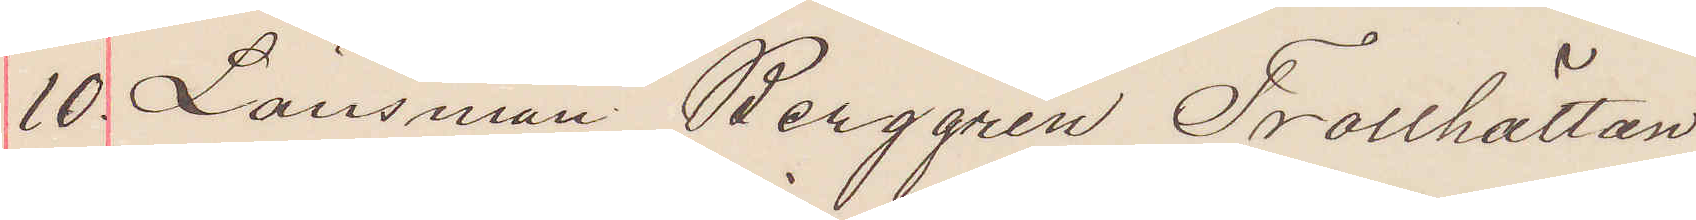10. Länsman Berggren Trollhättan.
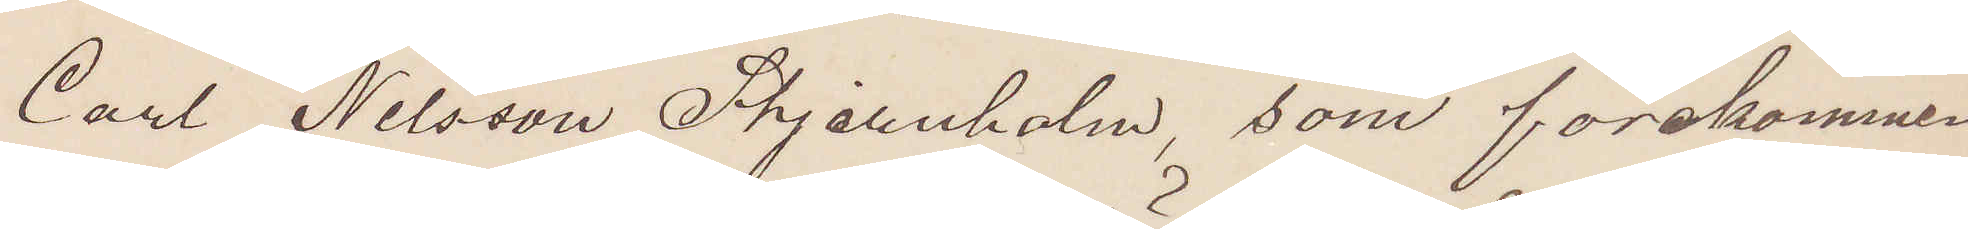Carl Nilsson Stjernholm, som förekommer
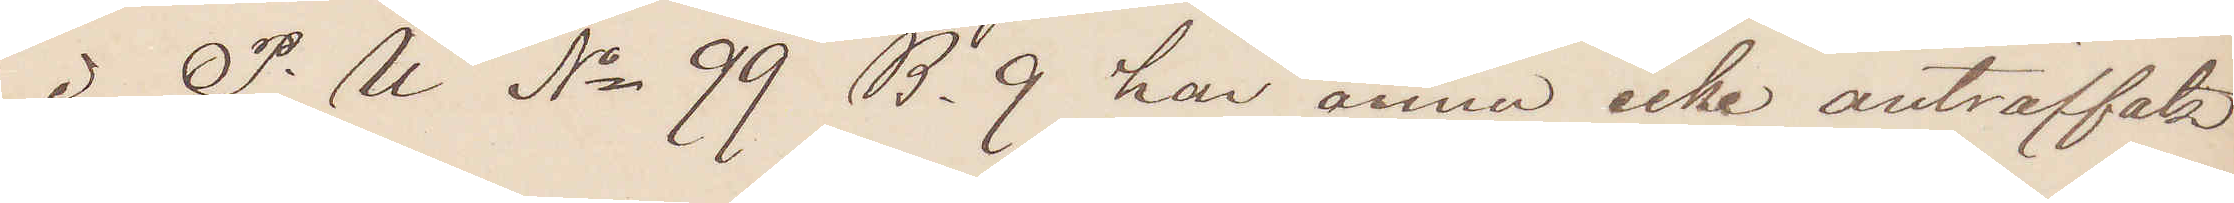i P. U No 99 B. 9 har ännu icke anträffats
